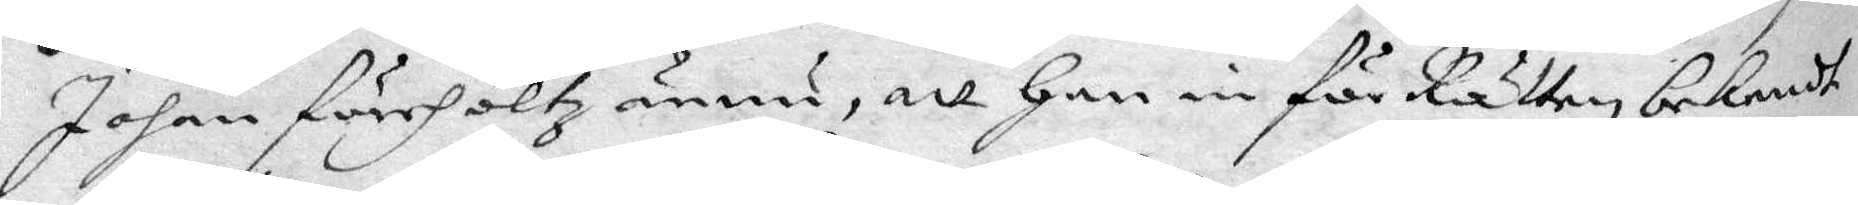Jojan förehöltz ännu, att han in för Rätten bekendt
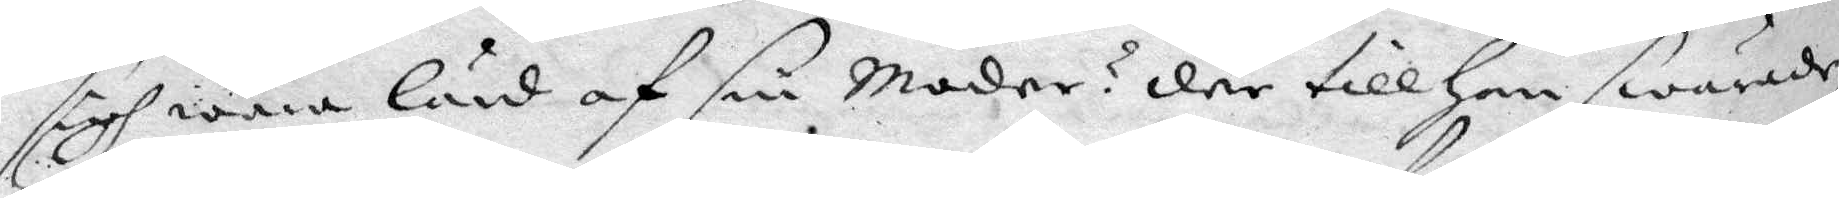sigh wara lärd af sin moder? der till han swarade,
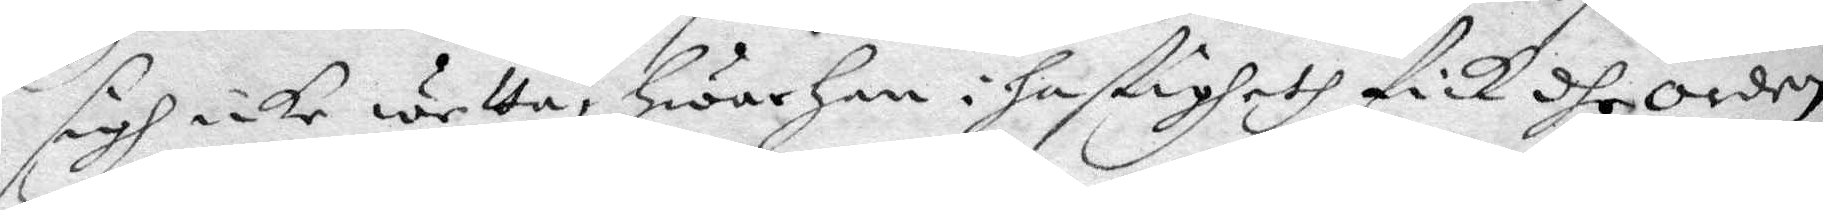sigh icke wetta, hwar han i hastigheth fick dhe Orden,
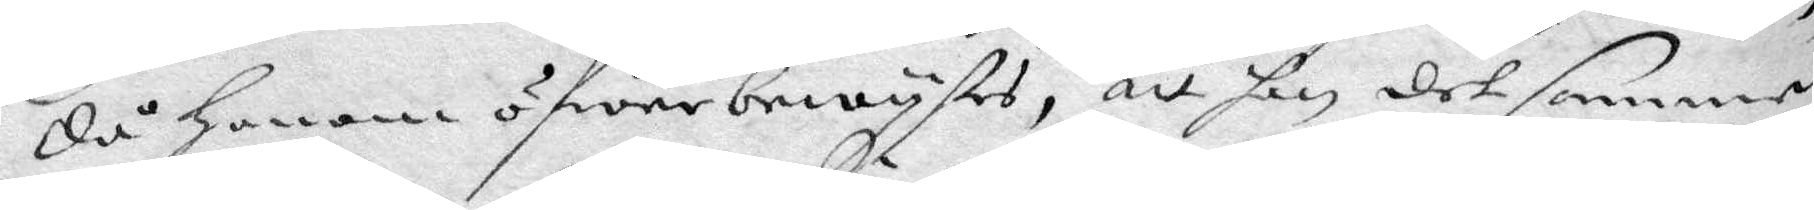då honom ögwer bewystes, att han det samma
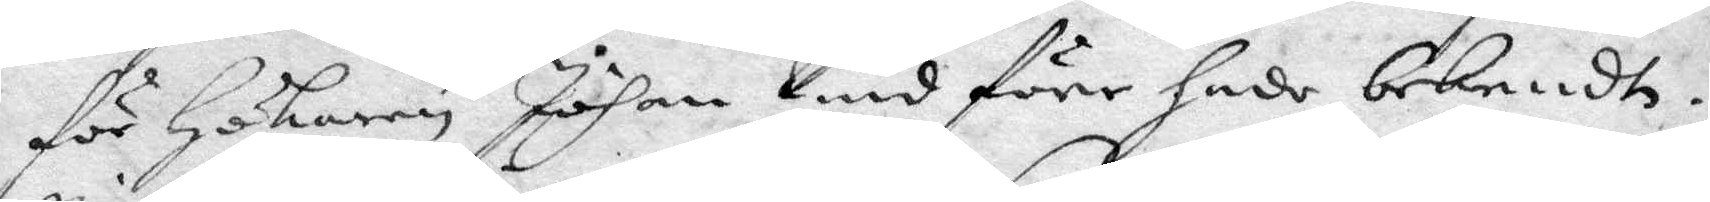för Hökaren Johan Lind förr hade bekendt.
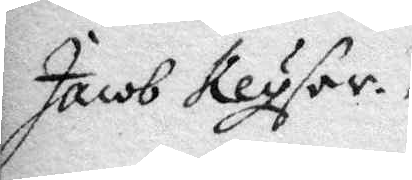Jacob Keyser.
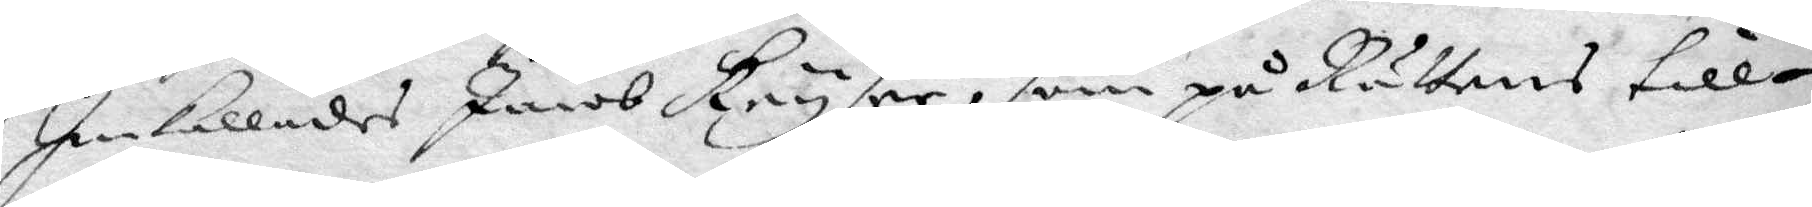Inkallades Jacob Keyser, som på Rättens till¬
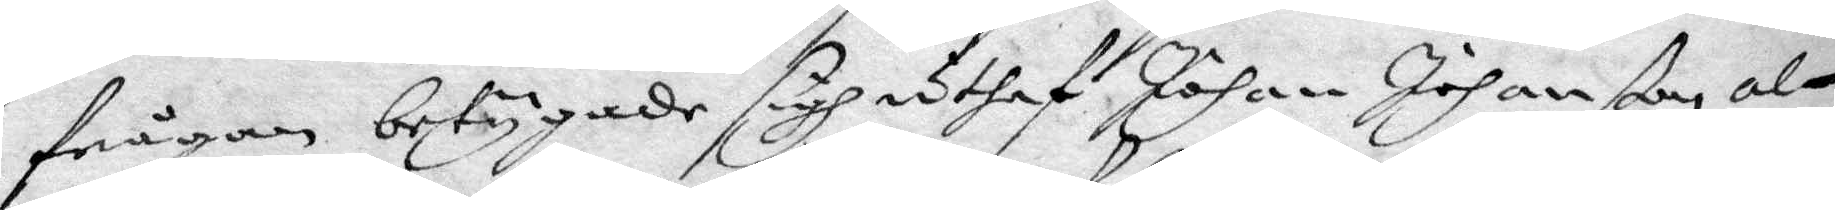frågan betygade sigh uthaf Johan Johanßon, al¬
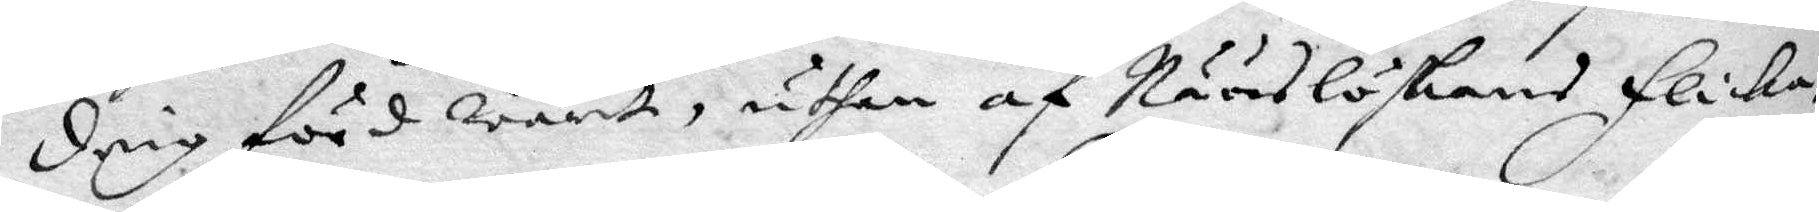drig förd warit uthan af Nääslöskans Flicka,
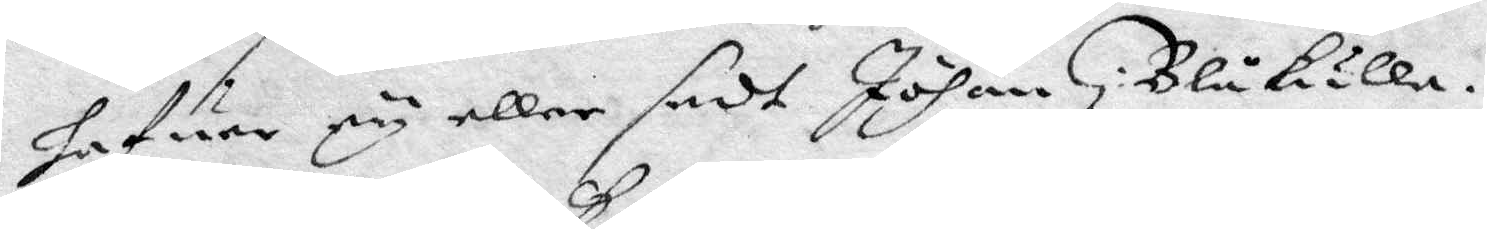hafuer ey eller sedt Johan i Blåkulla.
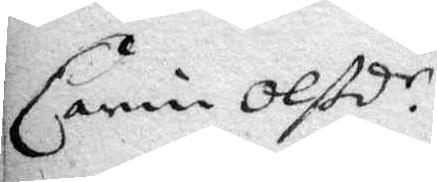Carin Olßd.r
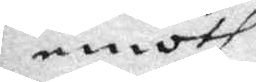emoth
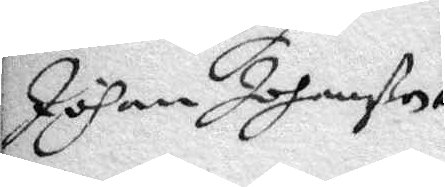Johan Johanßon
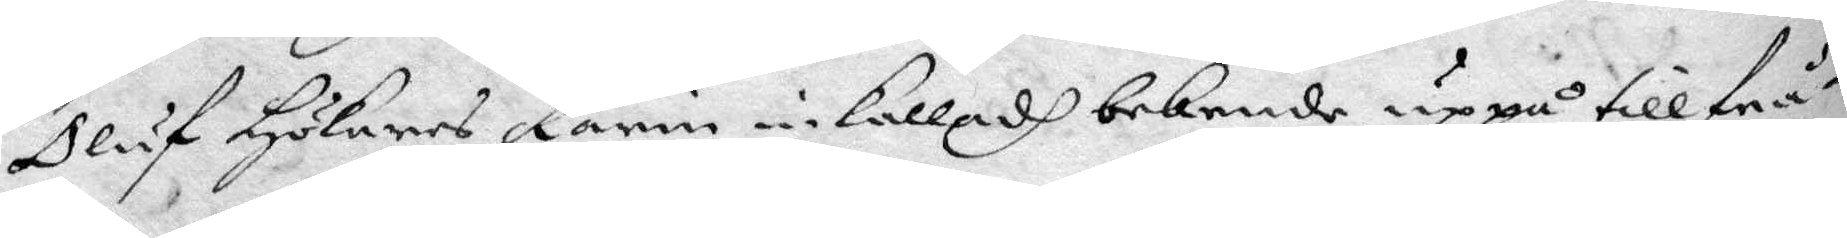Oluf Hökares Karin inkalladh bekende uppå tillfrå¬
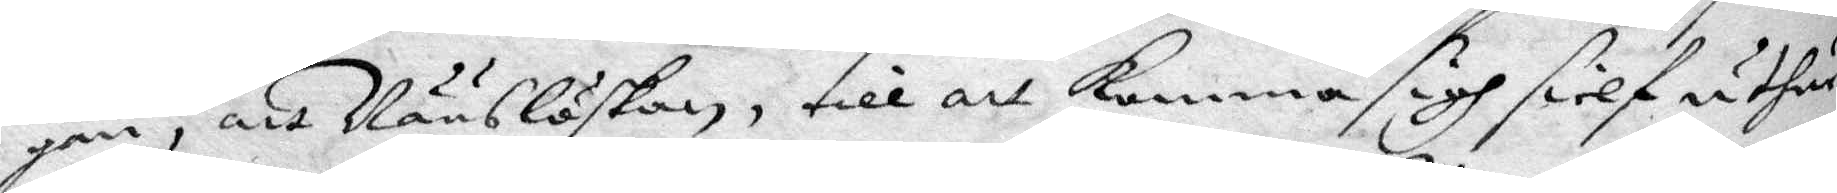gan, att Nääslöskan, till att komma sigh sielf uthur
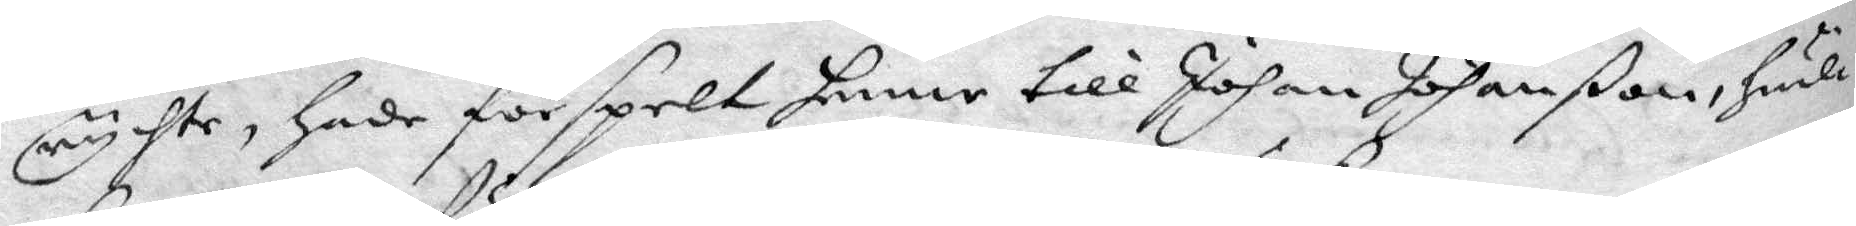rychte, hade förspelt henne till Johan Johanßon, hwilc¬
